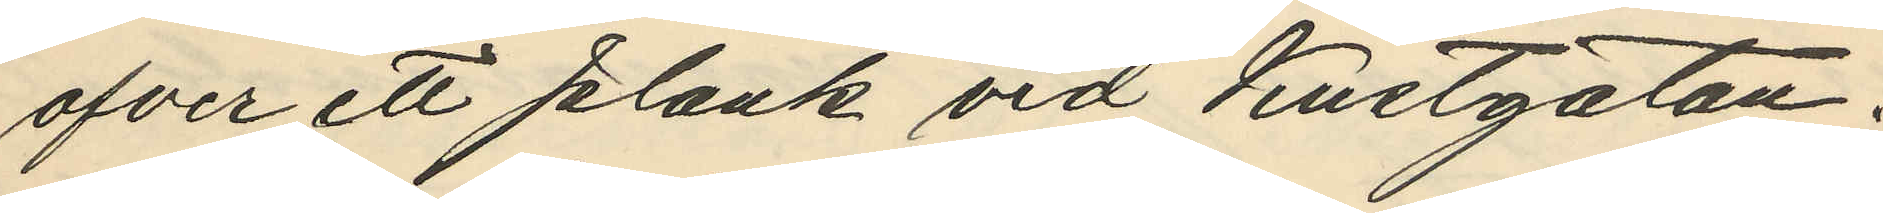ofver ett plank vid Kustgatan.
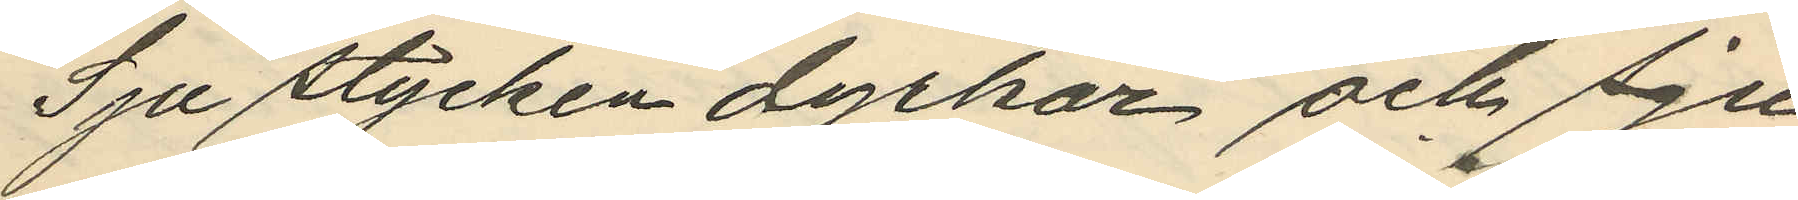Sju stycken dyrkar och sju
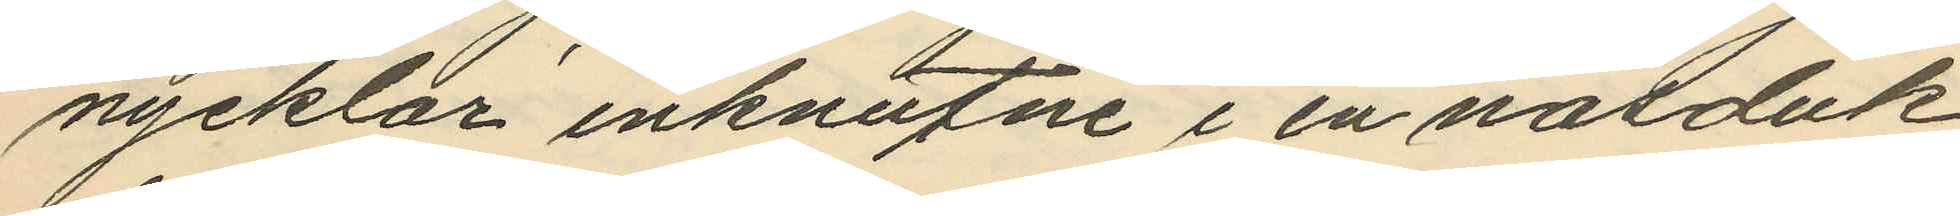nycklar inknutne i en näsduk
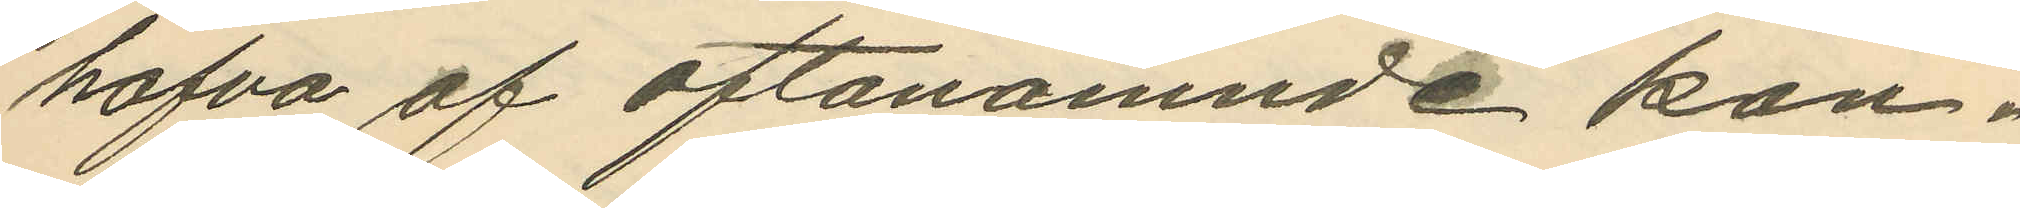hafva af oftanämnde kon¬
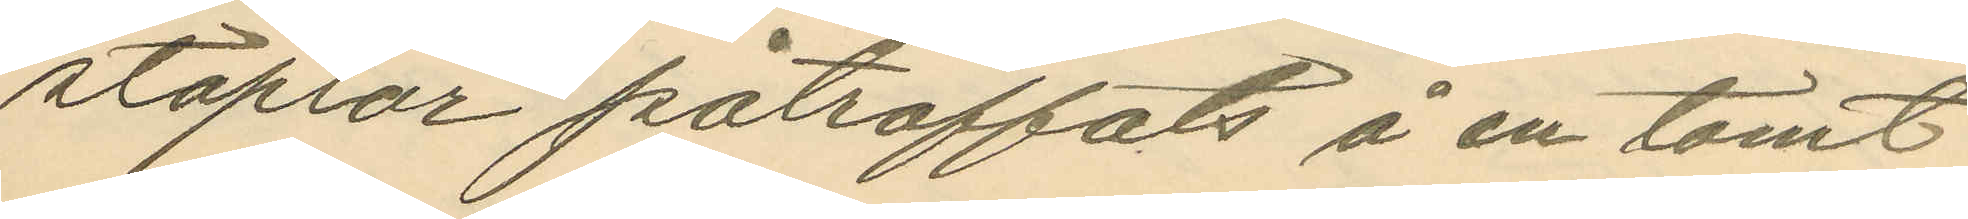staplar påträffats å en tomt
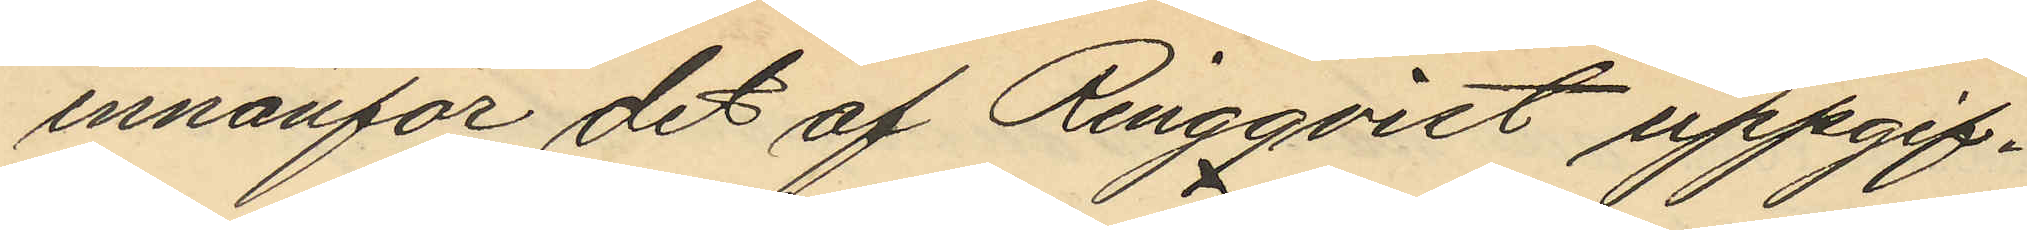innanför det af Ringqvist uppgif¬
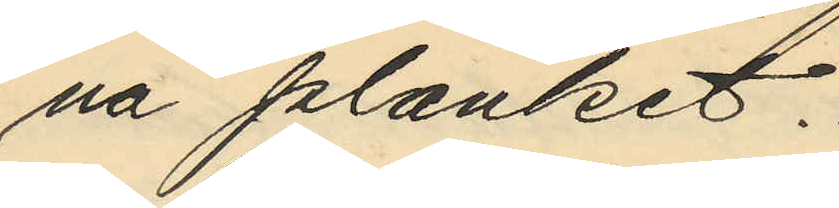na planket.
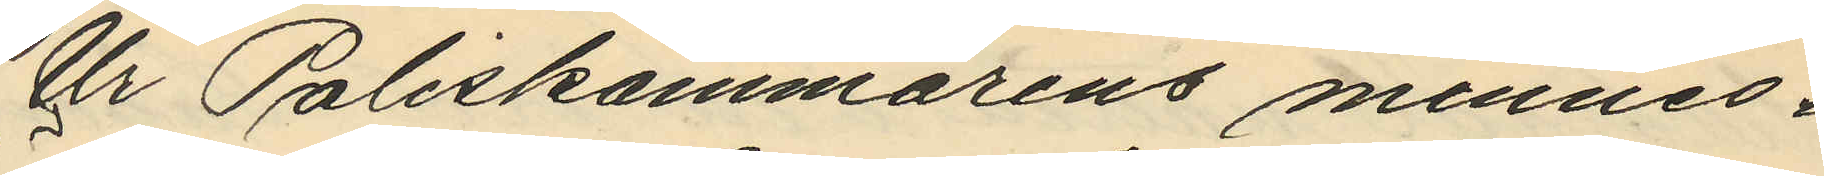Ur Poliskammarens minnes¬
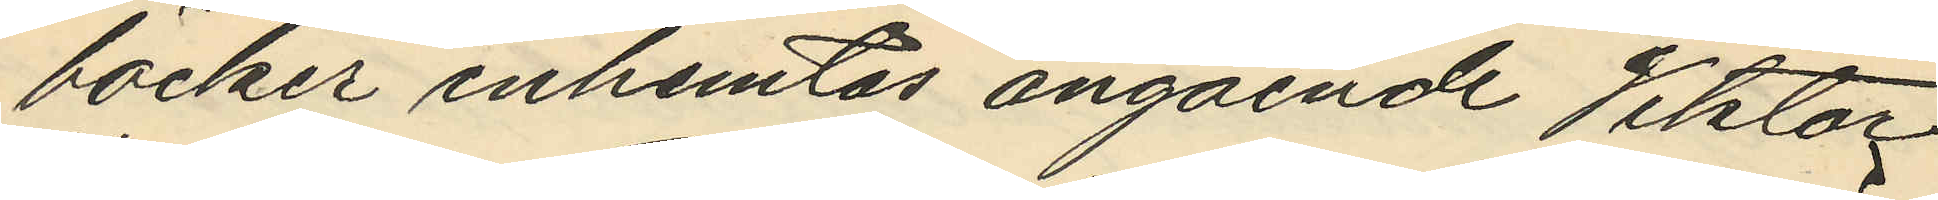böcker inhemtas angående Viktor
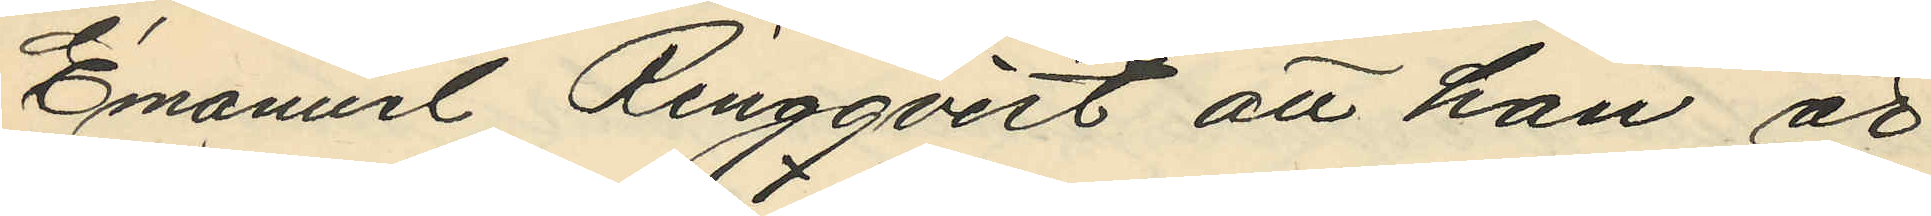Emanuel Ringqvist att han är
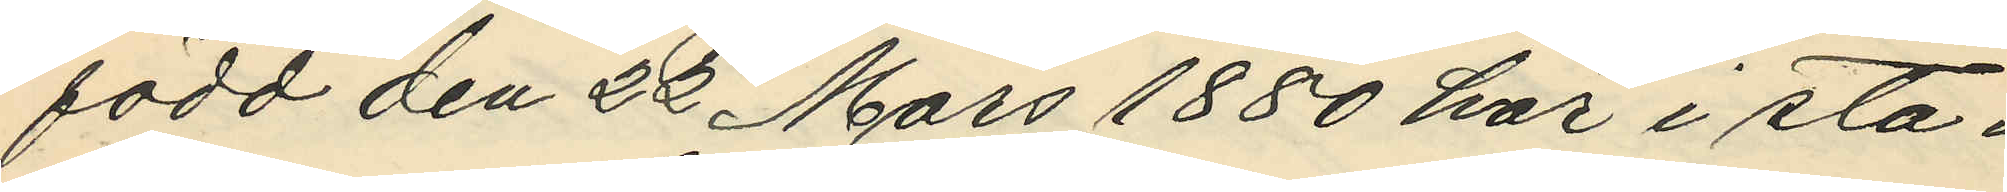född den 22 Mars 1880 här i sta¬
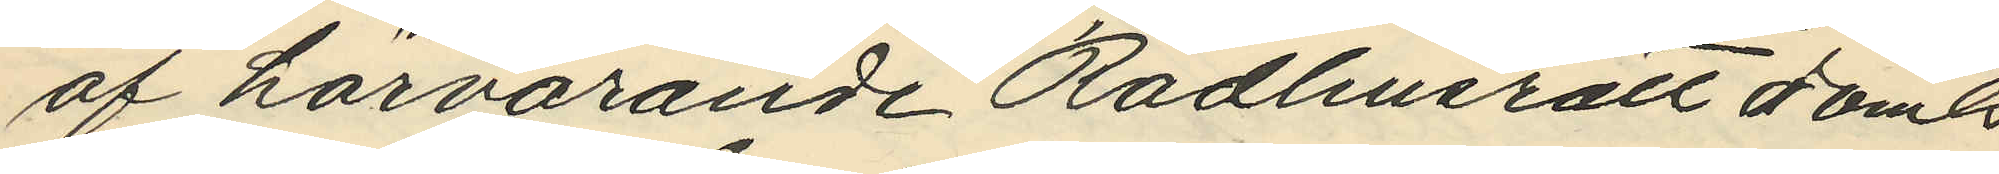af härvarande Rådhusrätt dömts
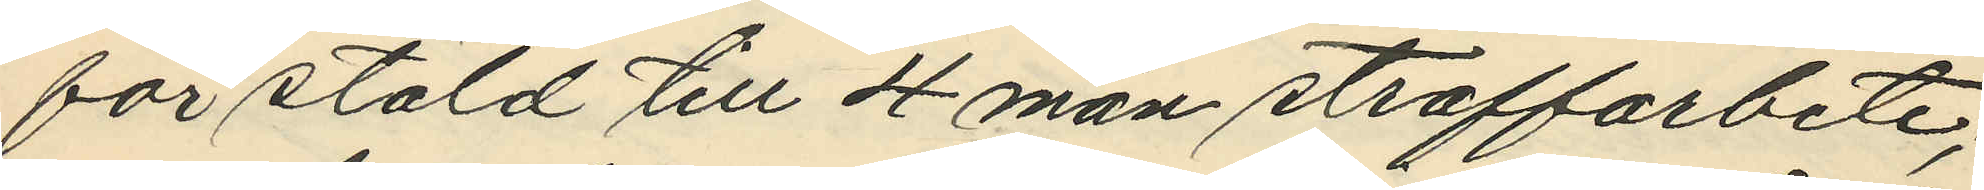för stöld till 4 mån. straffarbete;
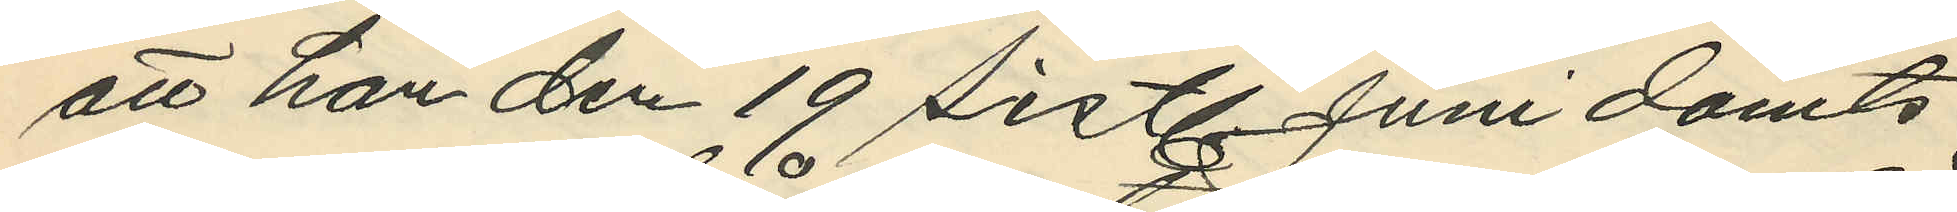att han den 19 sistl. Juni dömts
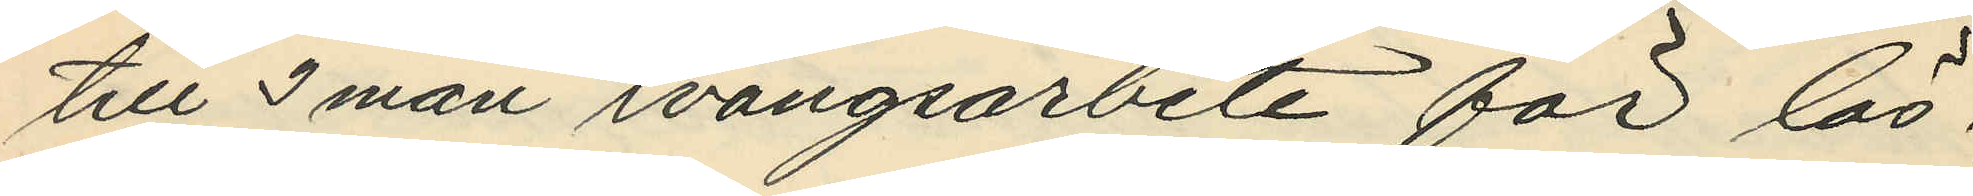till 3 mån. tvångsarbete för lös¬
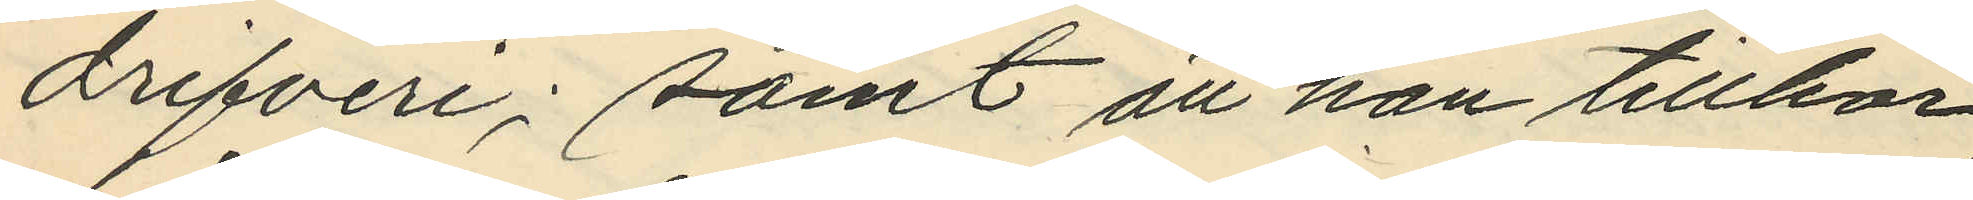drifveri; samt att han tillhör
